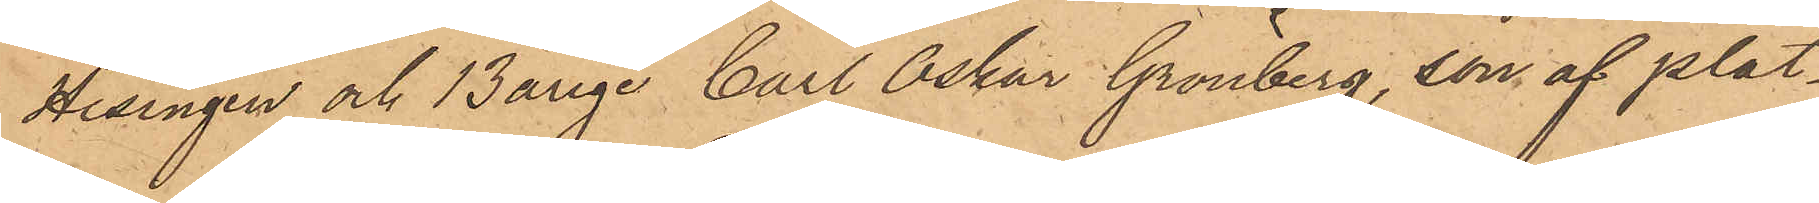Hisingen och 13årige Carl Oskar Grönberg, son af plåt¬
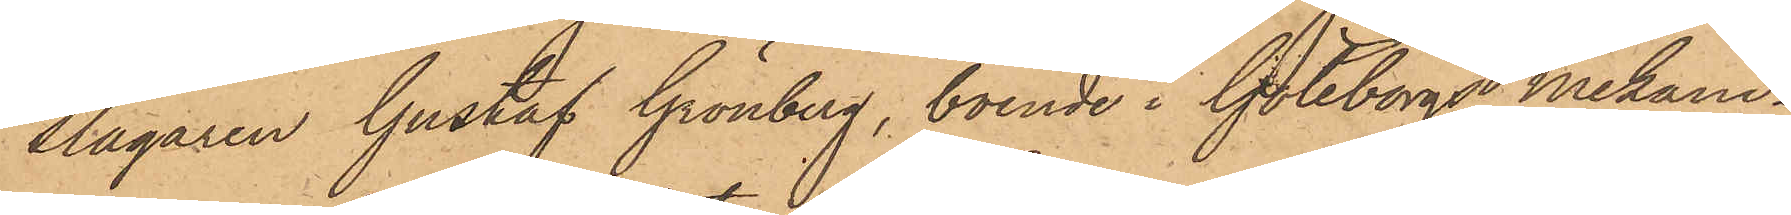slagaren Gustaf Grönberg, boende i Göteborgs Mekani¬
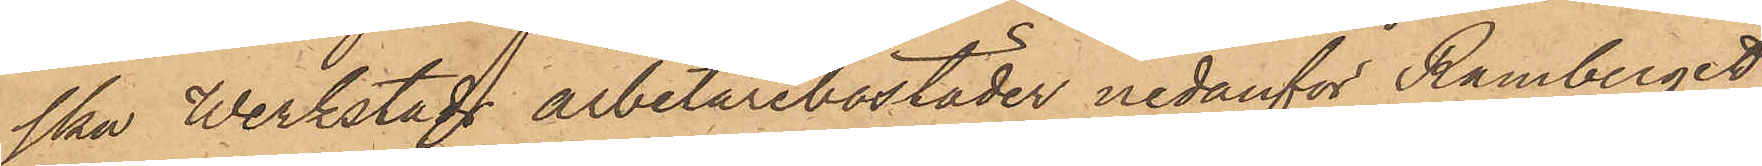ska Werkstads arbetarebostäder nedanför Ramberget
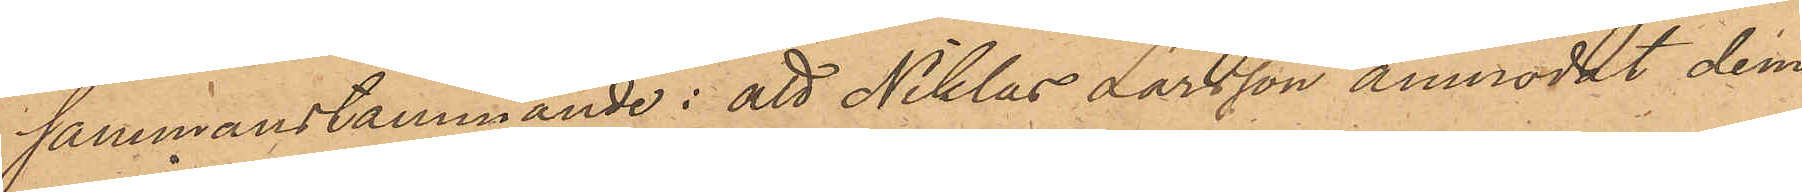sammanstämmande: att Niklas Larsson anmodat dem
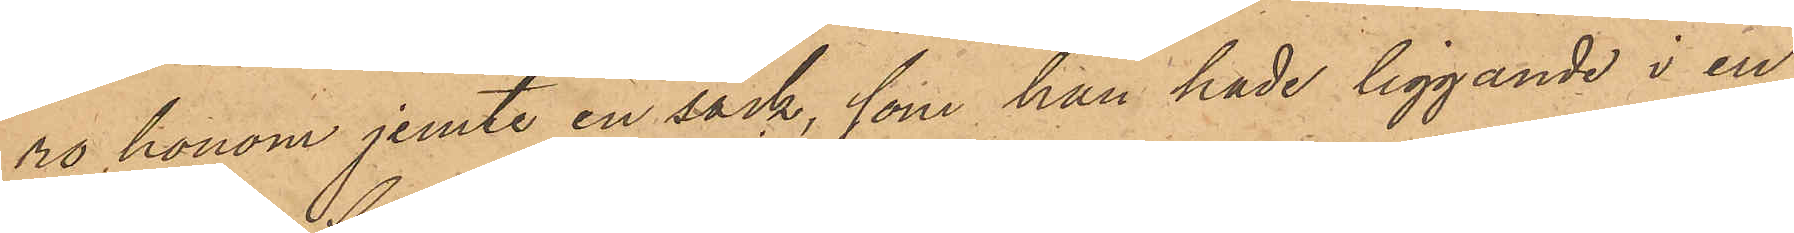ro honom jemte en säck, som han hade liggande i en
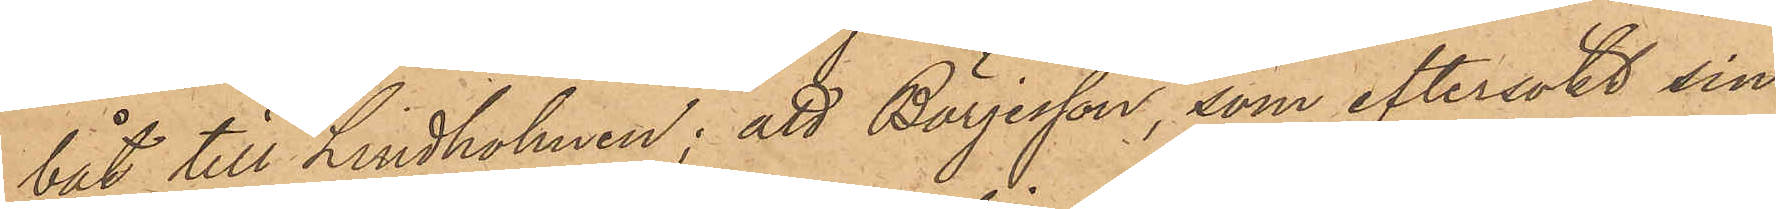båt till Lindholmen; att Börjesson, som eftersökt sin
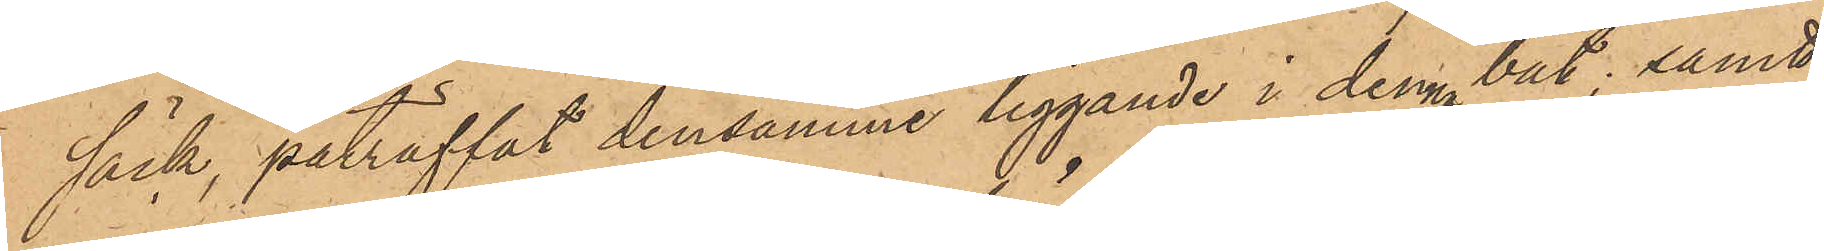säck, påträffat densamme liggande i denna båt; samt
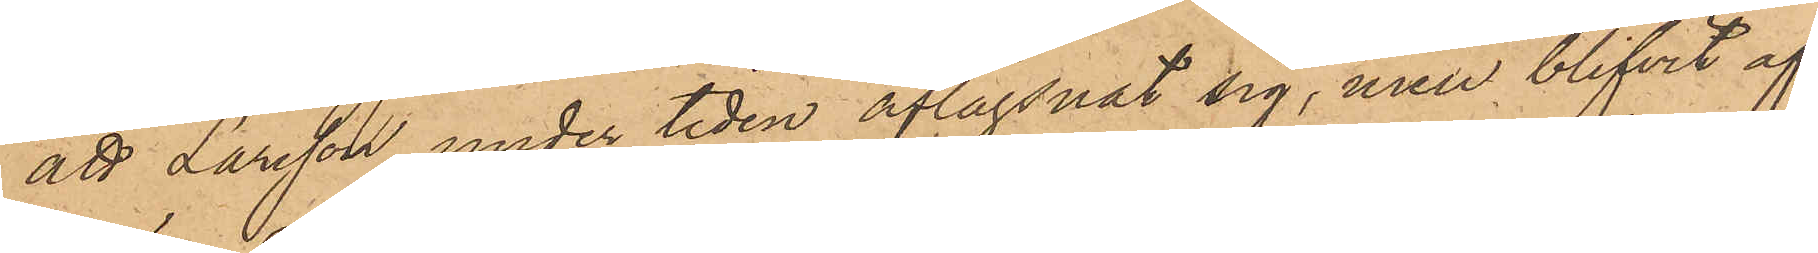att Larsson under tiden aflägsnat sig, men blifvit af
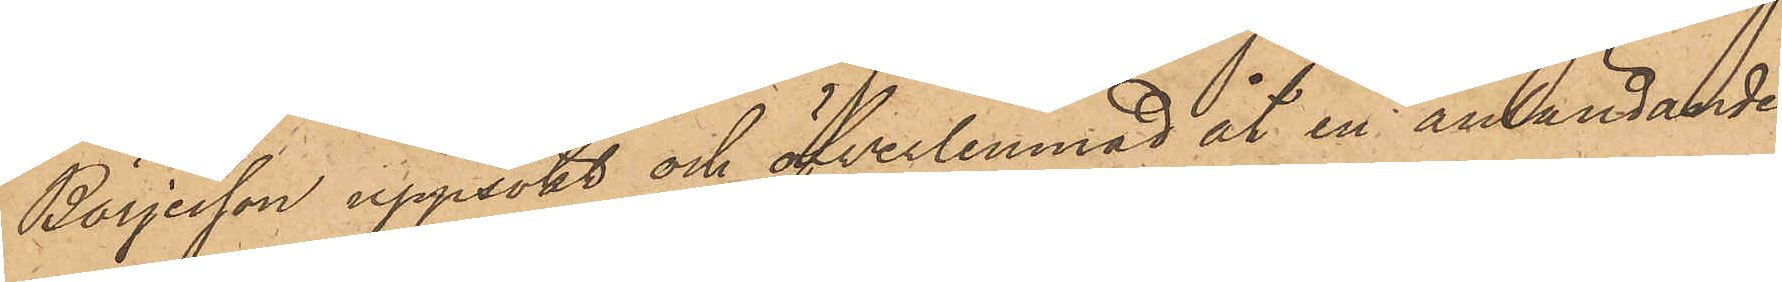Börjesson uppsökt och öfverlemnad åt en anländande
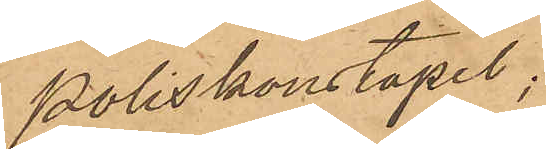Poliskonstapel;
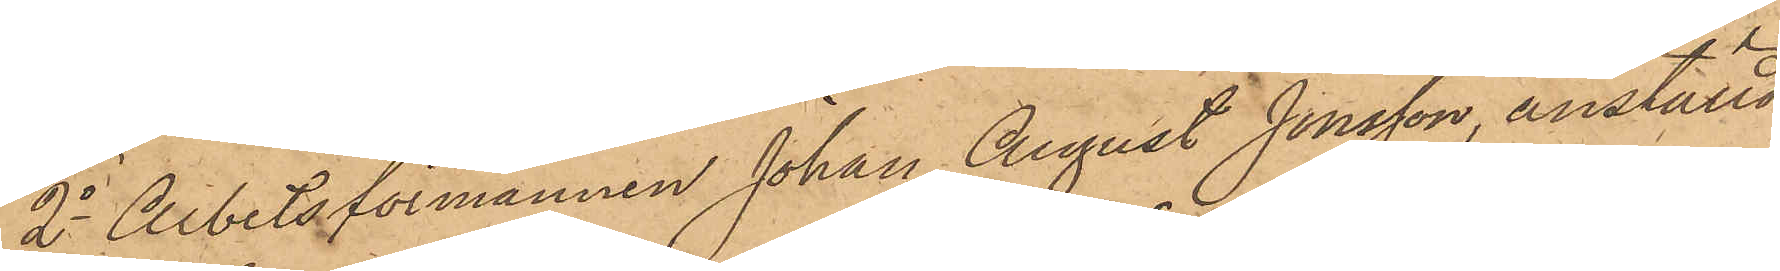2o Arbetsförmannen Johan August Jonsson, anställd
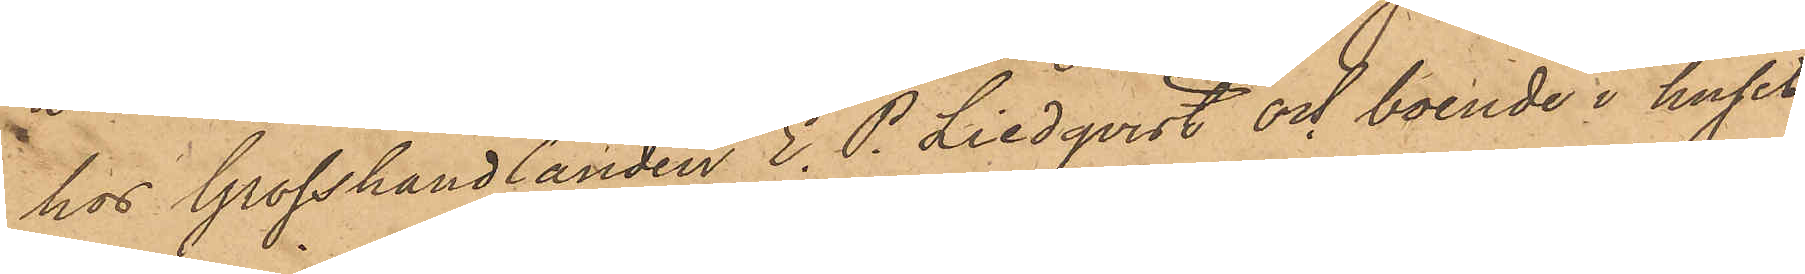hos Grosshandlanden E. P. Liedqvist och boende i huset
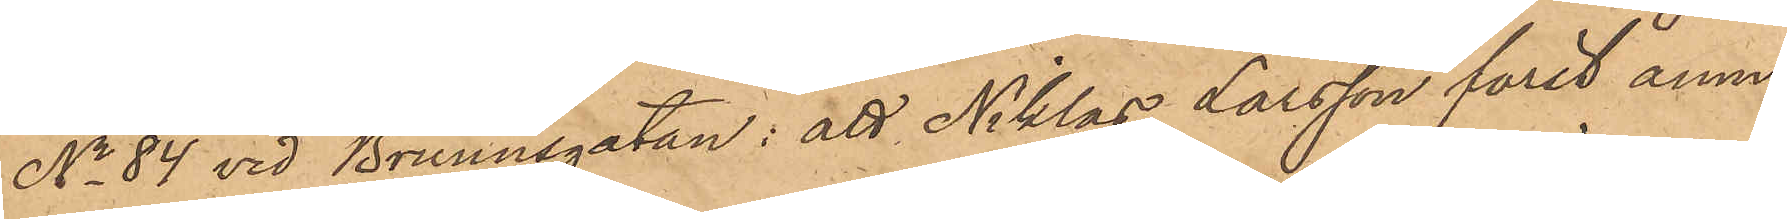No 84 vid Brunnsgatan: att Niklas Larsson först anmo¬
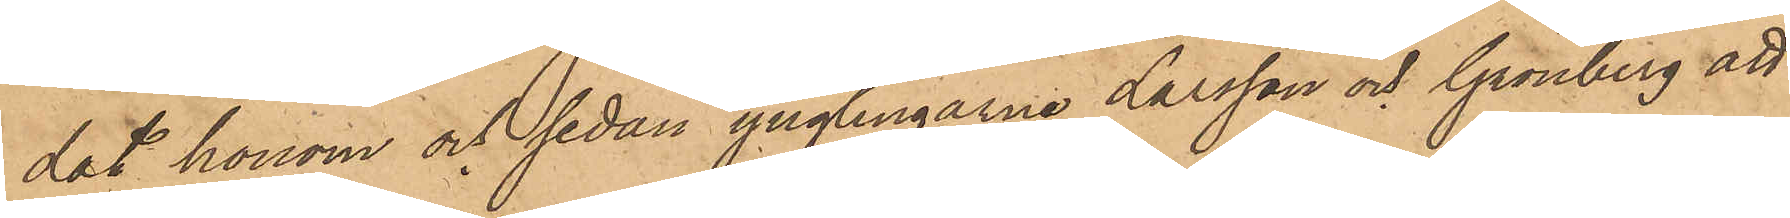dat honom och sedan ynglingarne Larsson och Grönberg att
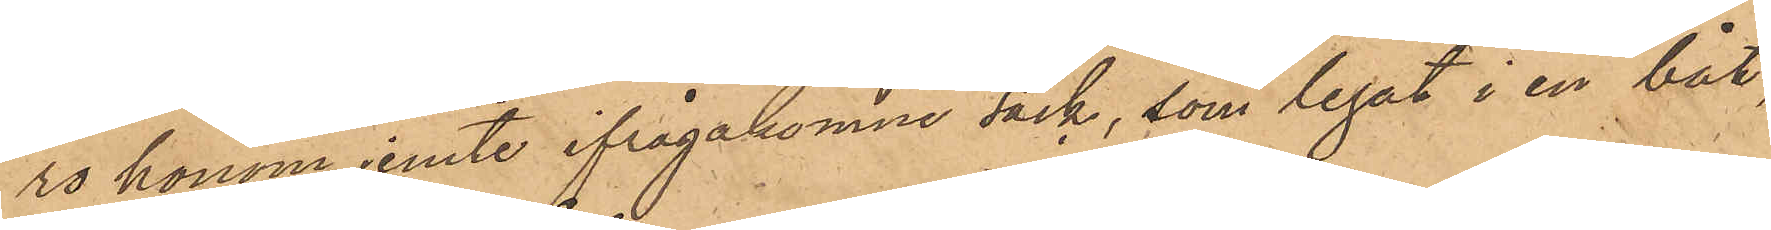ro honom jemte ifrågakomne säck, som legat i en båt,
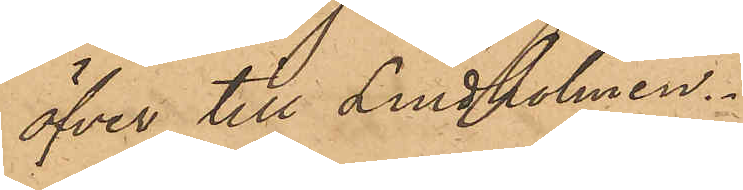öfver till Lindholmen.
